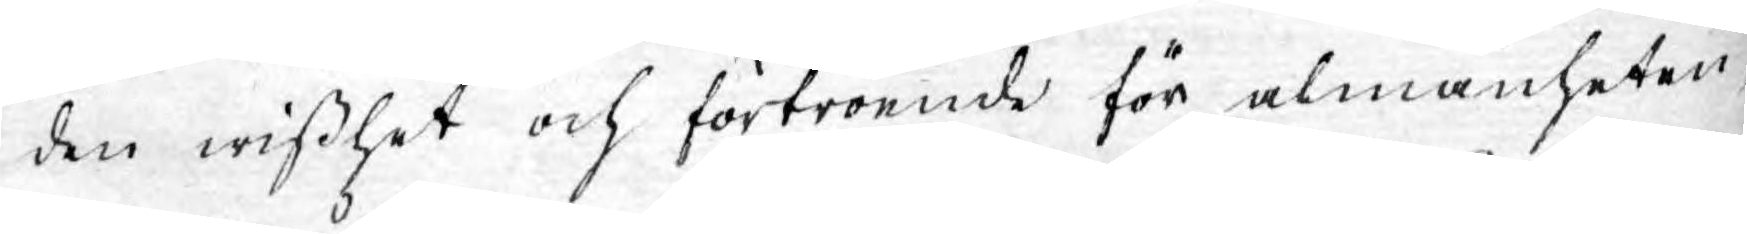den wisshet och förtroende för almänheten,
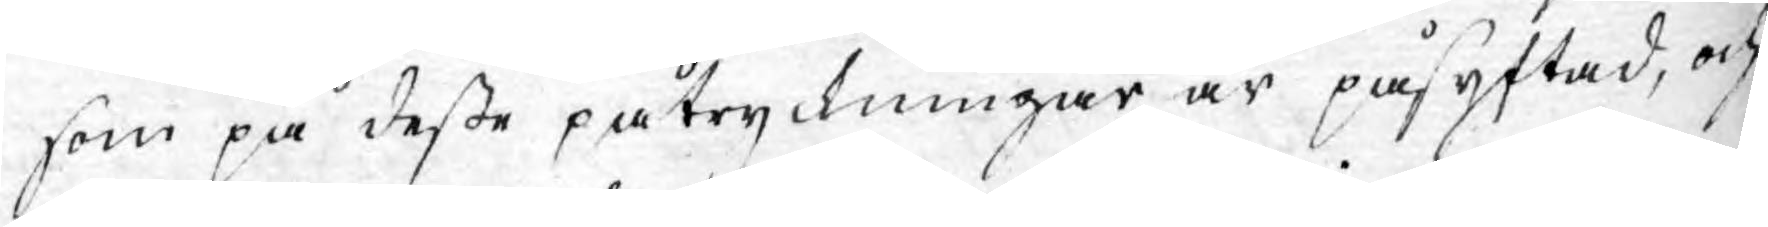som på desse påtryckningar är påsyftad, och
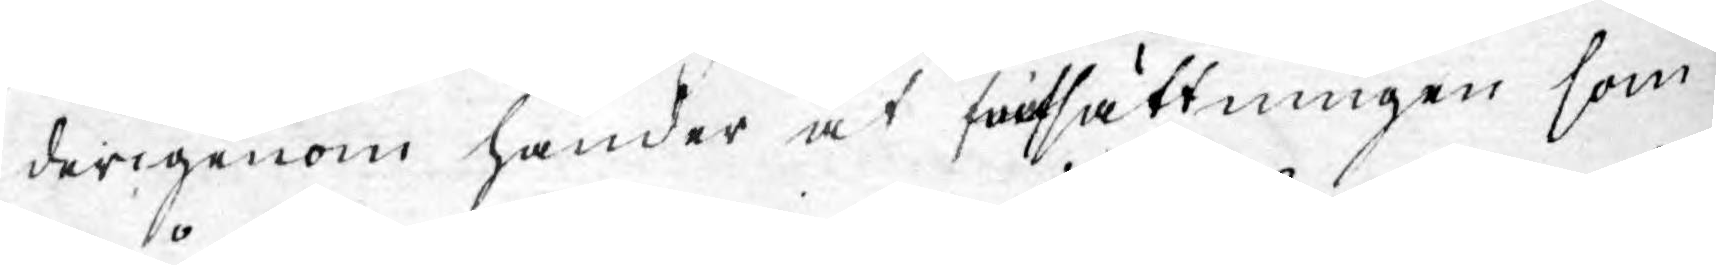derigenom händer att prissättningen som
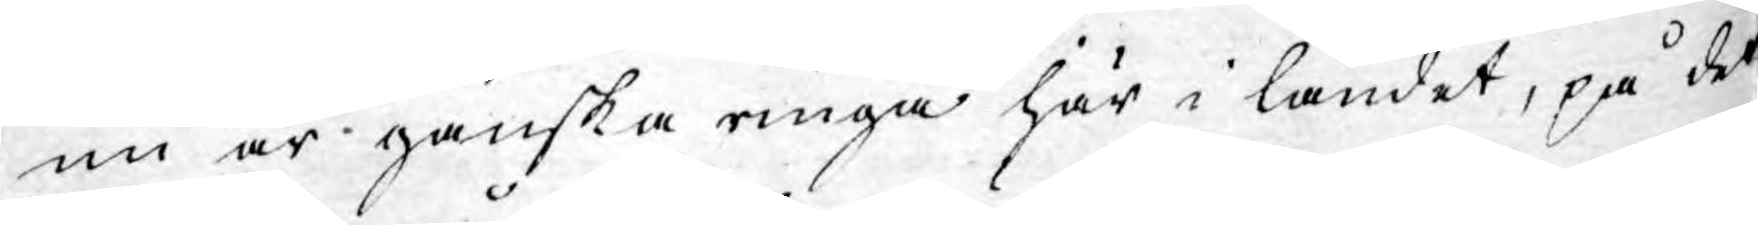nu är ganska ringa här i landet, på det¬
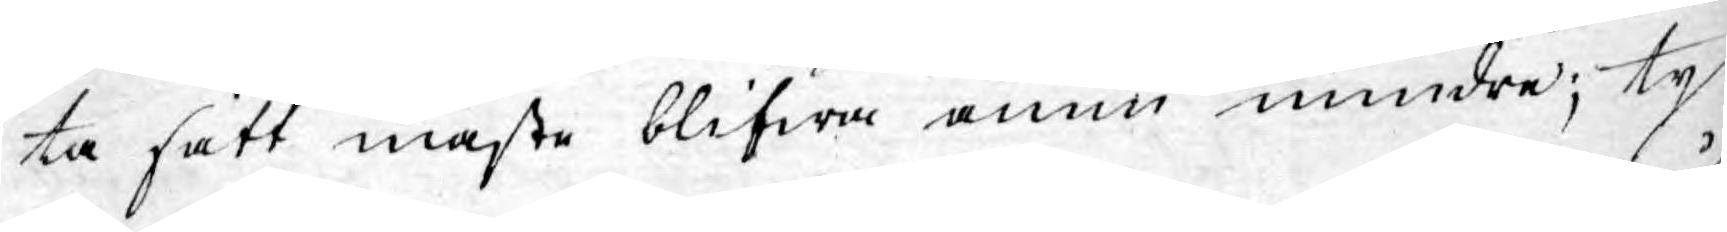ta sätt måste blifwa ännu mindre; ty
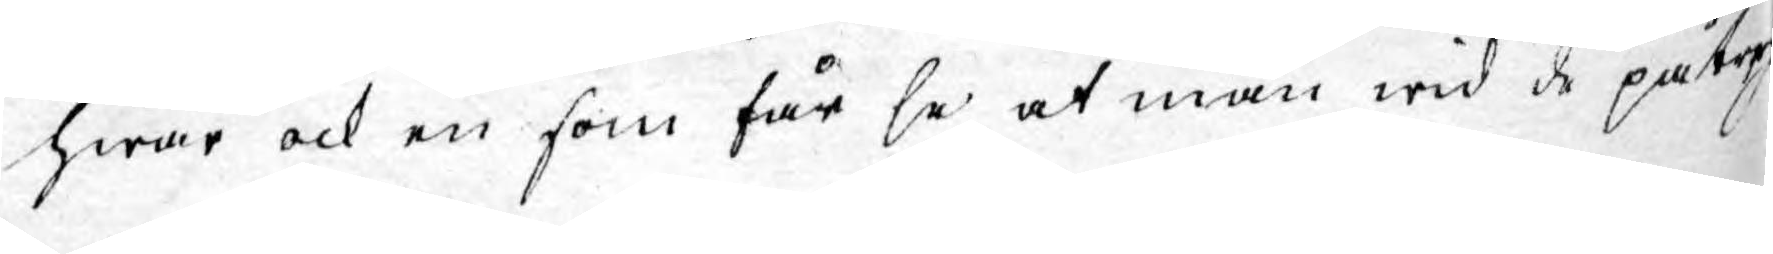hwar ock en som får se at man wid de påtrykte
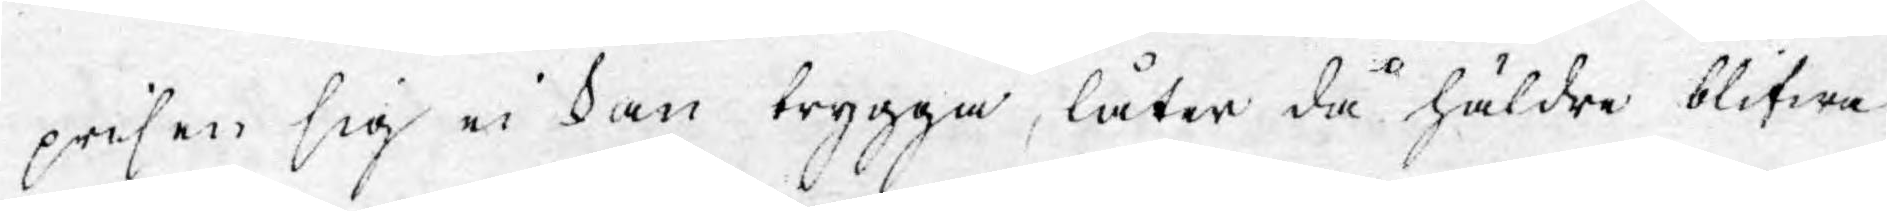prisen sig ei kan trygga, låter då häldre blifwa
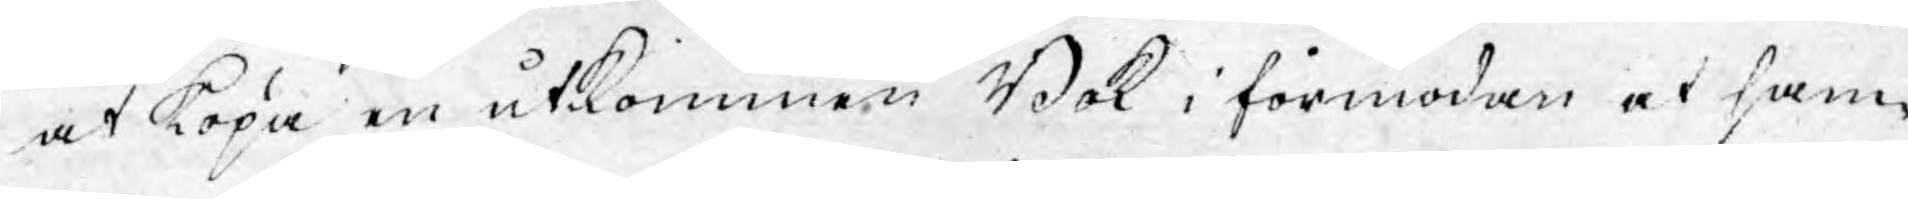at köpa en utkommen Bok i förmodan af sam¬
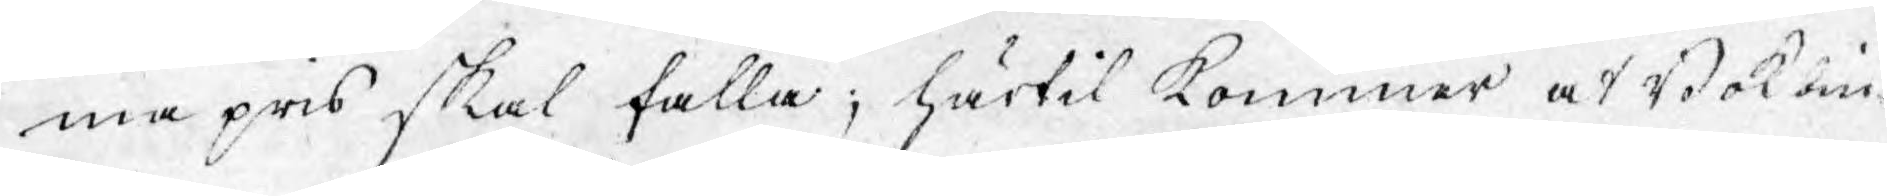ma pris skal falla; härtil kommer att Bokbin¬
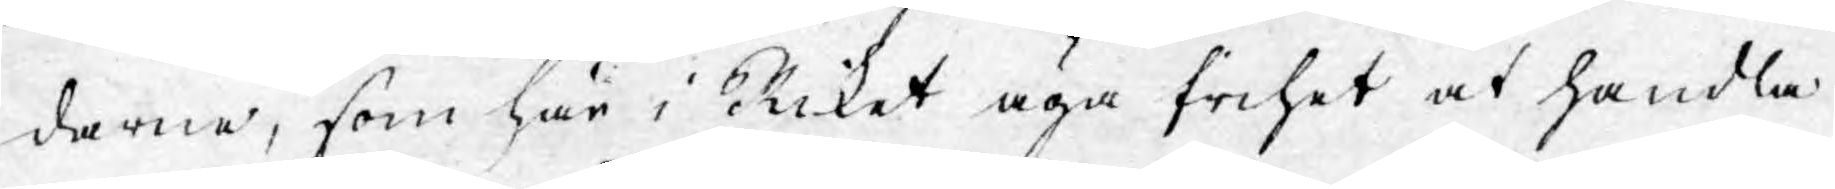darna, som här i Riket äga frihet af handla
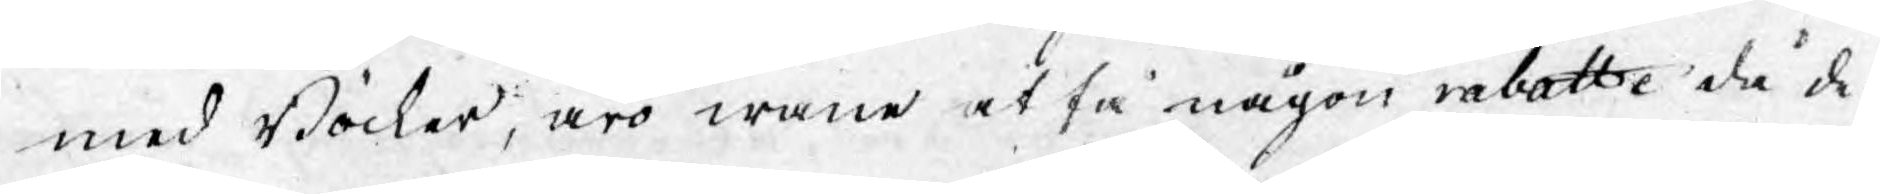med Böcker, äro wane at få någon rabatte då de
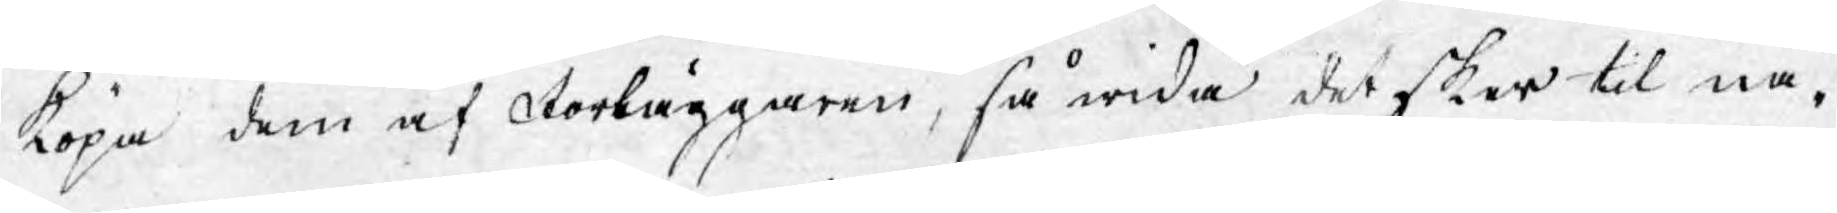köpa dem af Förläggaren, så wida det sker til nå¬
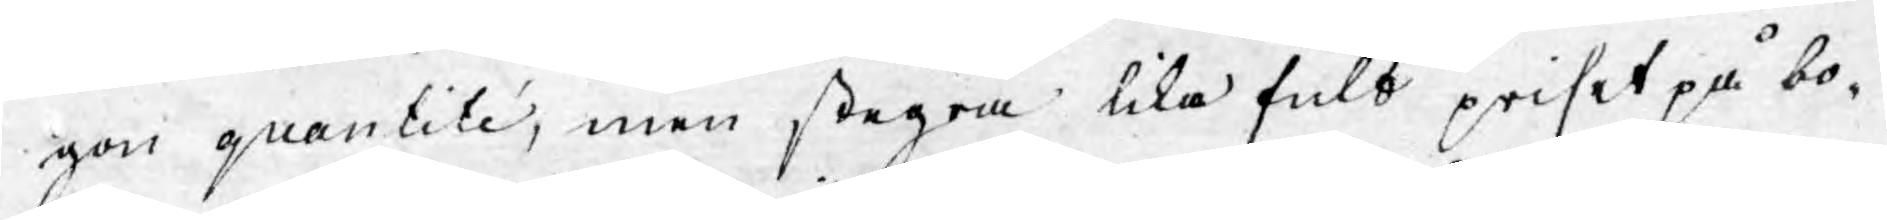gon quantité, men stegra likafult priset på bo¬
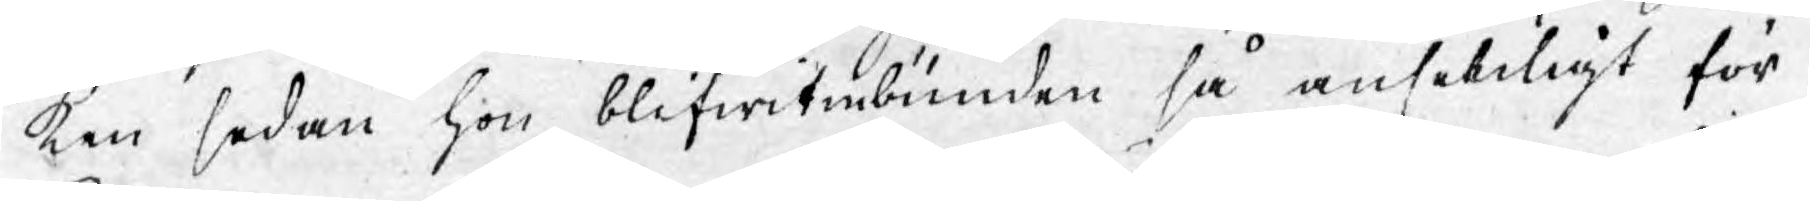ken sedan hon blifwit inbunden så ansenligt för
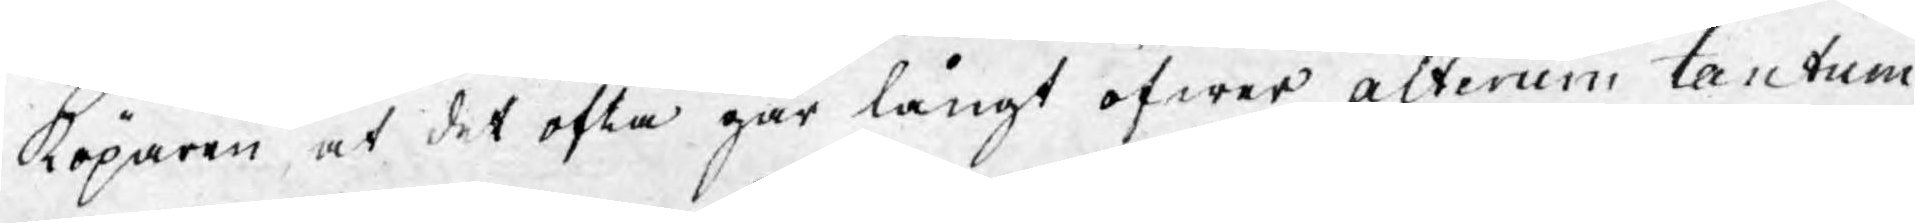köparen, at det ofta går långt öfwer alterum tantum
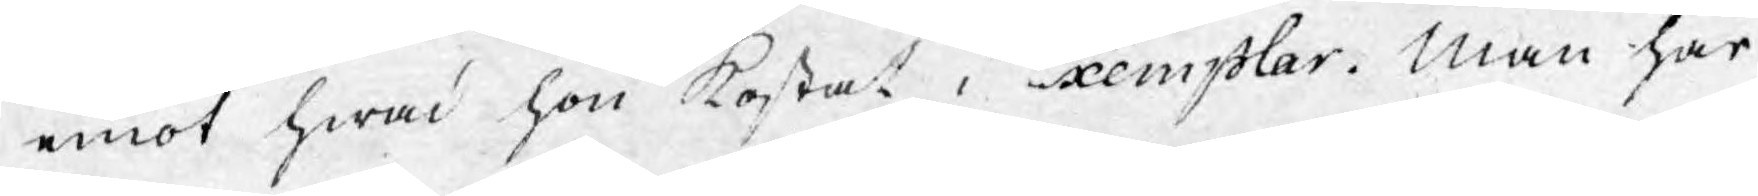emot hwad hon kostat i Exemplar. Man har
